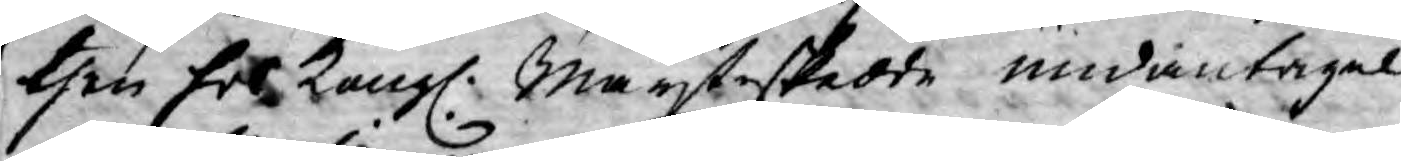then Ers Kongl. Mayt skedde undantagel¬
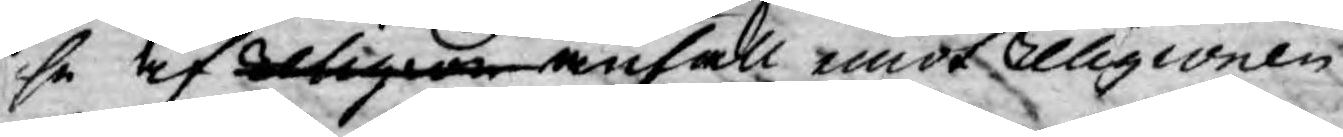se af Religion anfall emot Religionen,
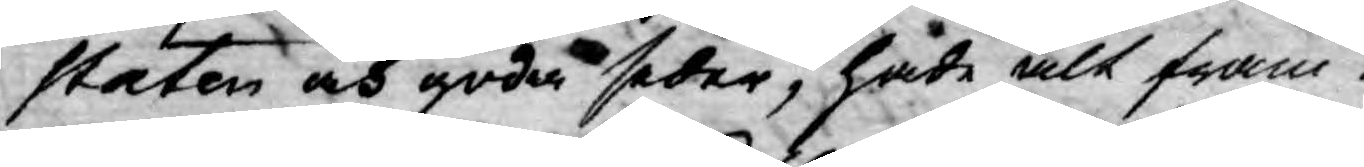Staten och goda seder, hade alt fram¬
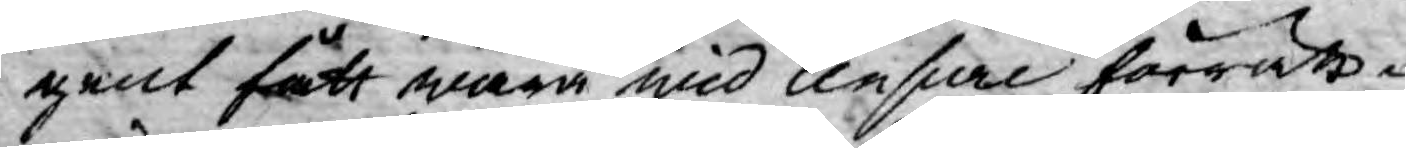gent fått wara wid censur förrätt¬
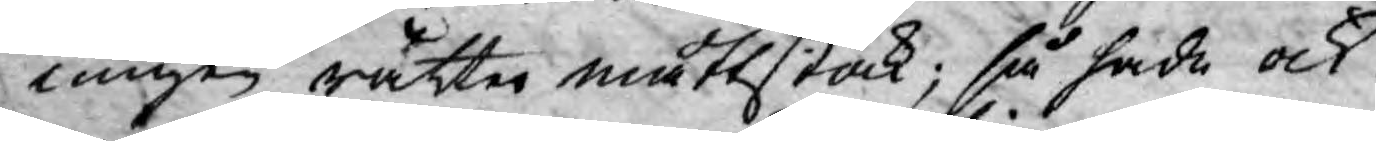ningen rätta måttstock; så hade ock
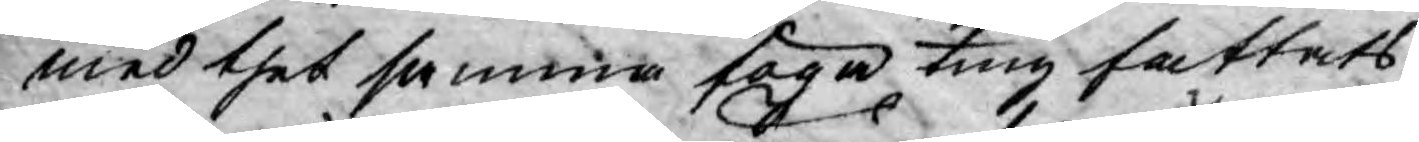med thet samma föga ting fattats,
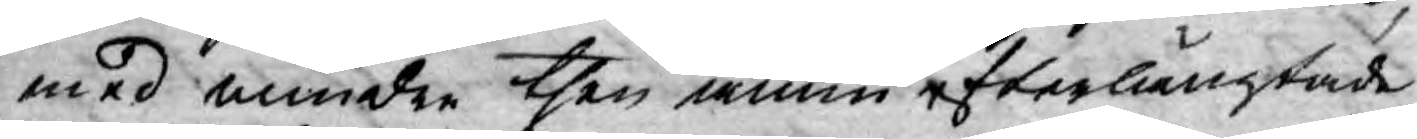med mindre then ännu efterlängtade
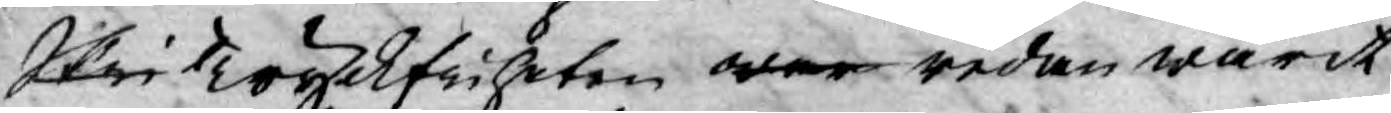Skri Tryckfriheten war redan warit
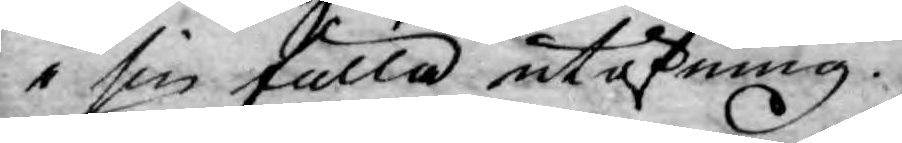i sin fulla utöfning.
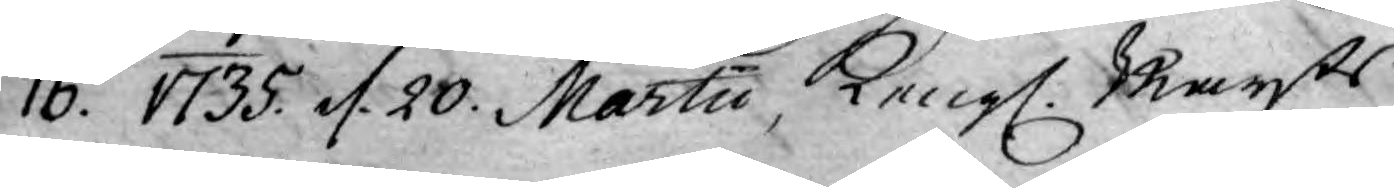16. 1735. d. 20. Martii, Kongl. Mayts
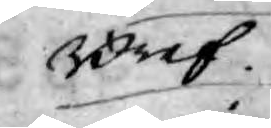Bref.
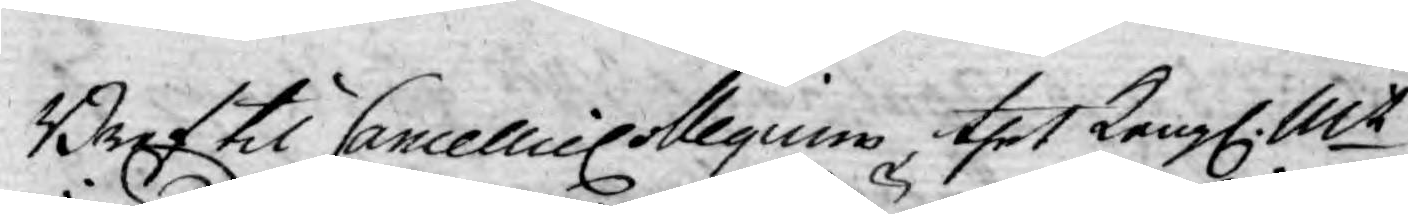Bref til Cancellie Collegium thet Kongl. Mt
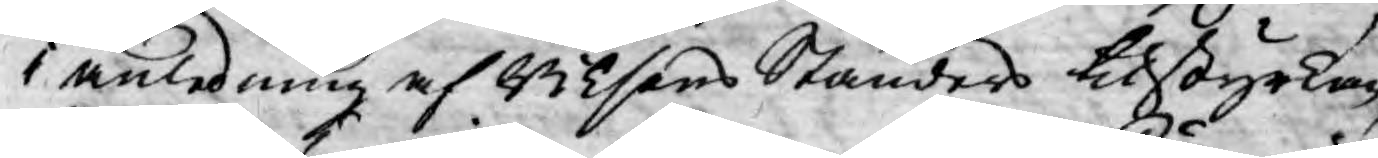i anledning af Riksens Ständers tilstyrkan,
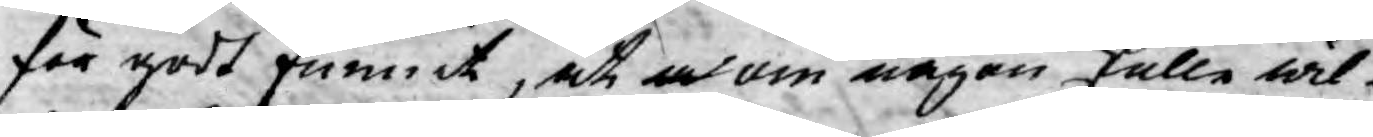för godt funnit, at om någon skulle wil¬
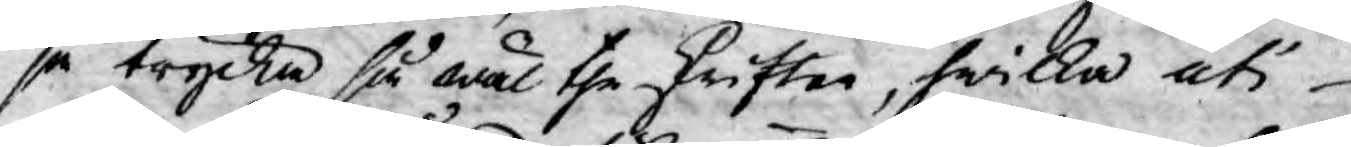ja trycka så wäl the skrifter, hwilka uti
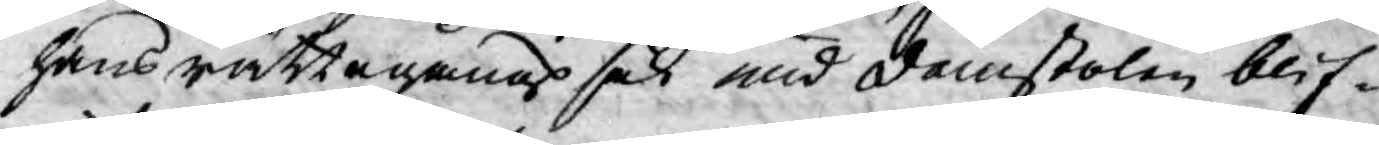hans rättegångs sak när domstolen blif¬
